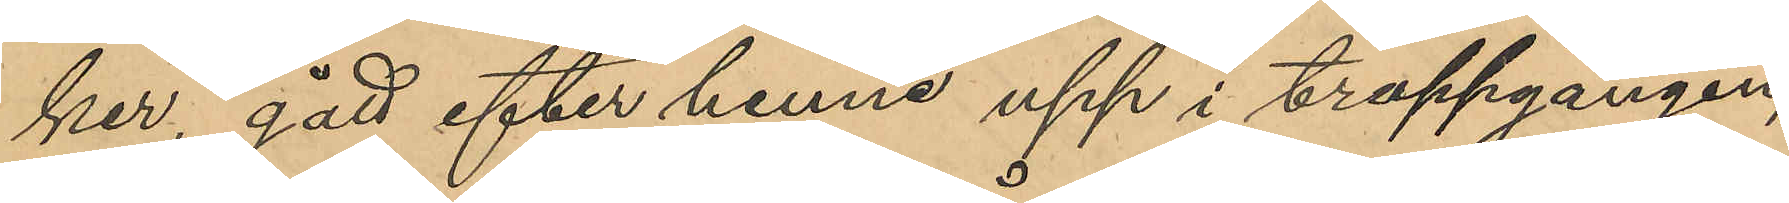ker, gått efter henne upp i trappgången
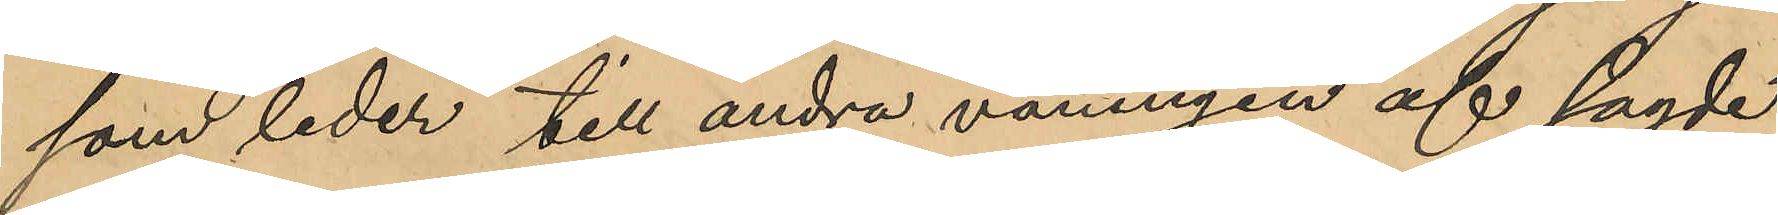som leder till andra våningen af sagde
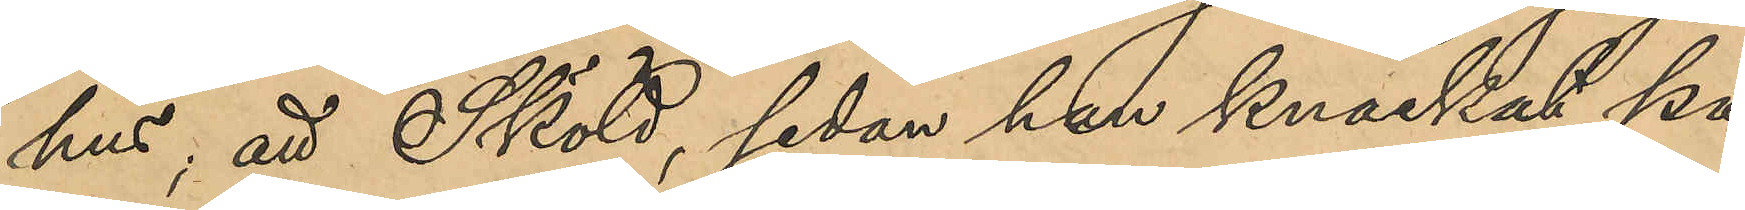hus; att Sköld, sedan han knackat på
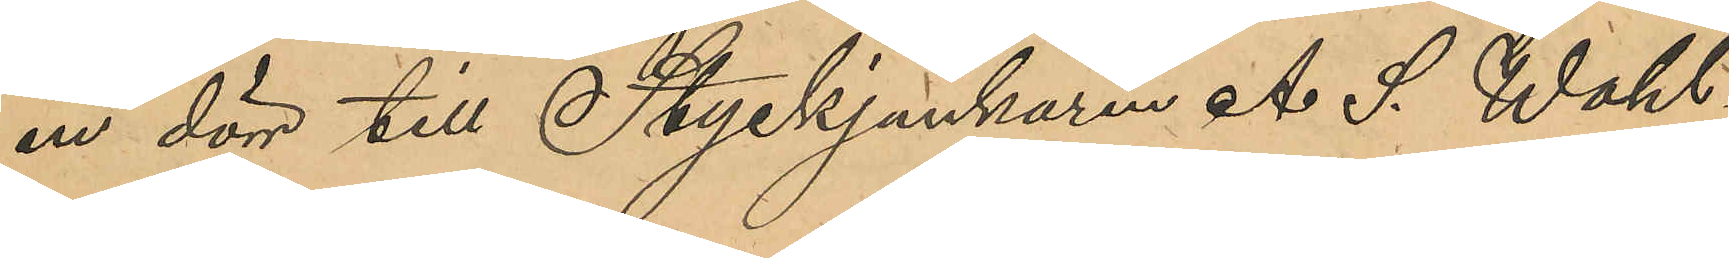en dörr till Styckjunkaren A. S. Wahl¬
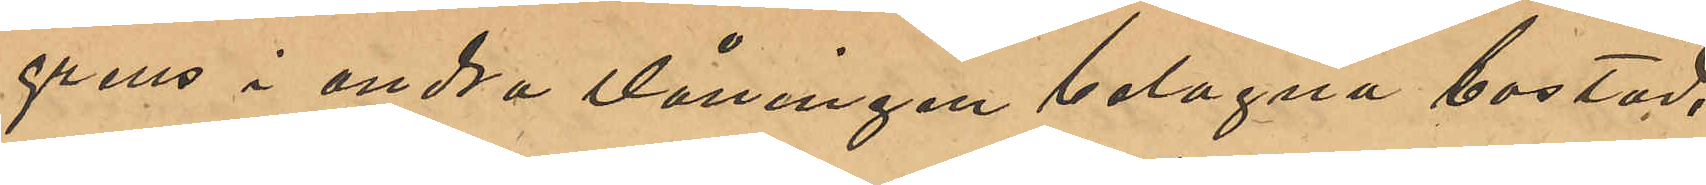grens i andra våningen belagna bostad,
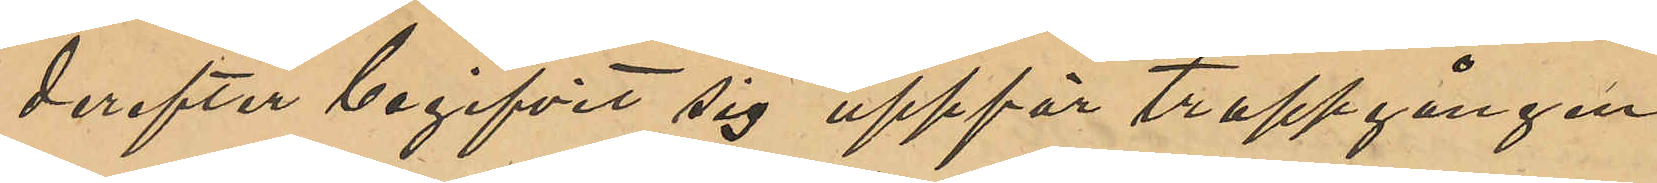derefter begifvit sig uppför trappgången
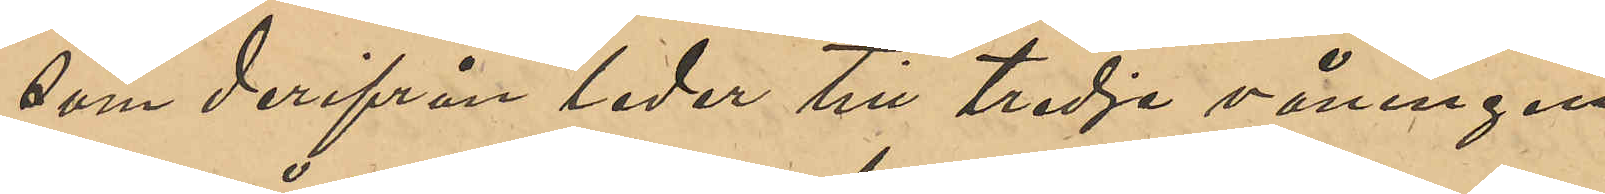som derifrån leder till tredje våningen
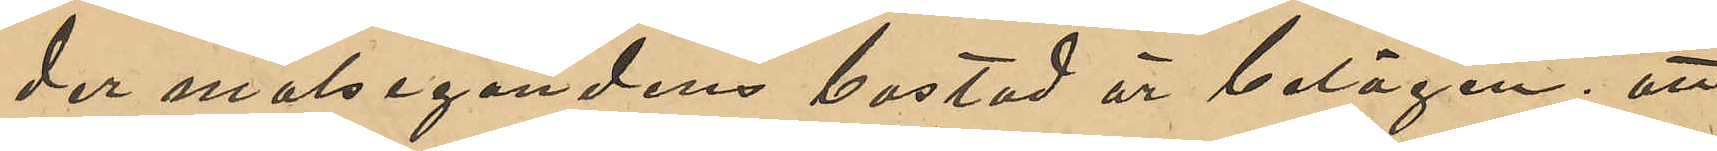der målsegandens bostad är belägen; att
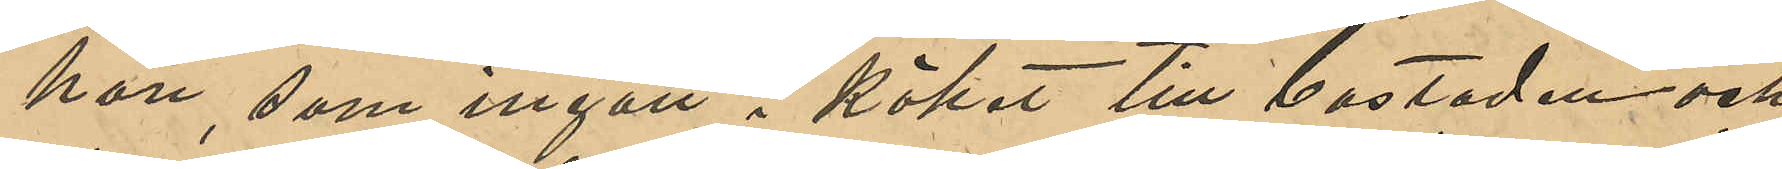hon, som ingått i köket till bostaden och
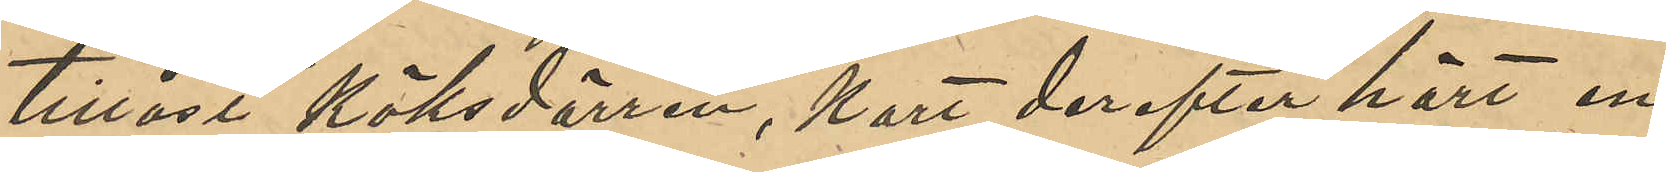tillåst köksdörren, kort derefter hört en
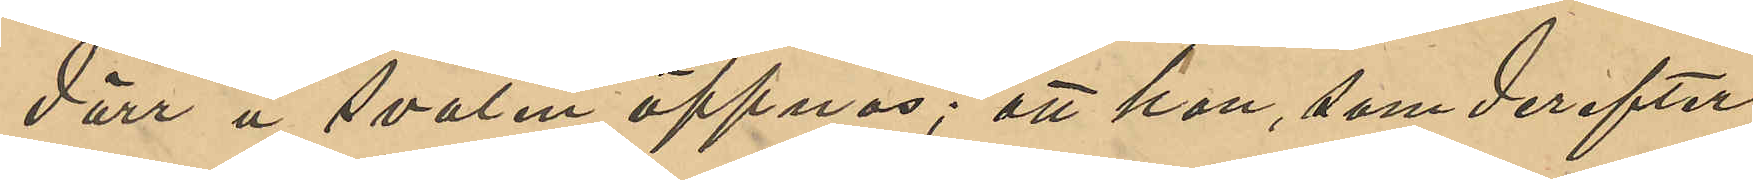dörr å svalen öppnas; att hon, som derefter
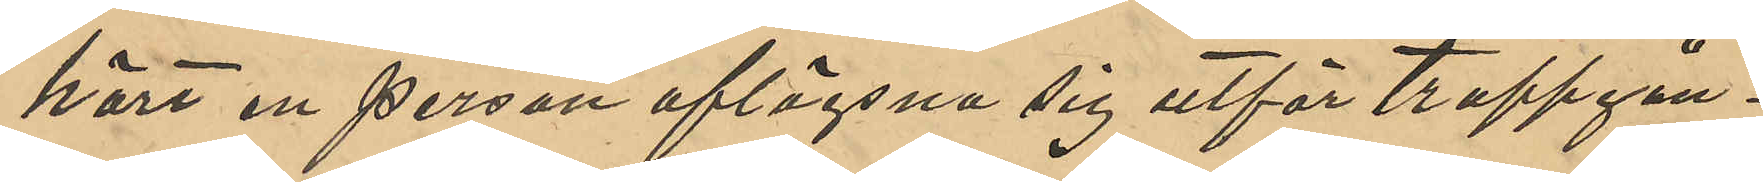hört en person aflägsna sig utför trappgån¬
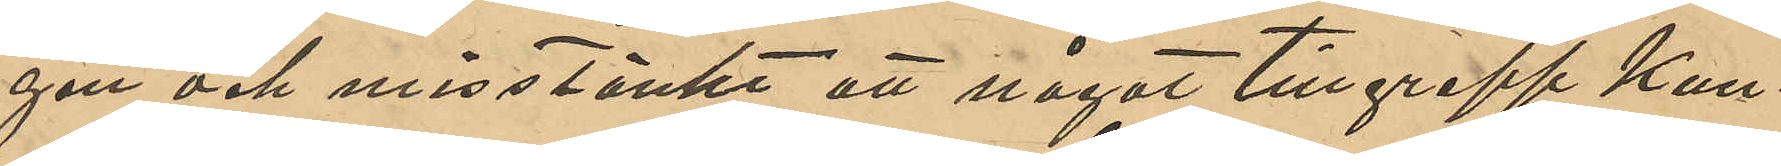gen och misstänkte att något tillgrepp kun¬
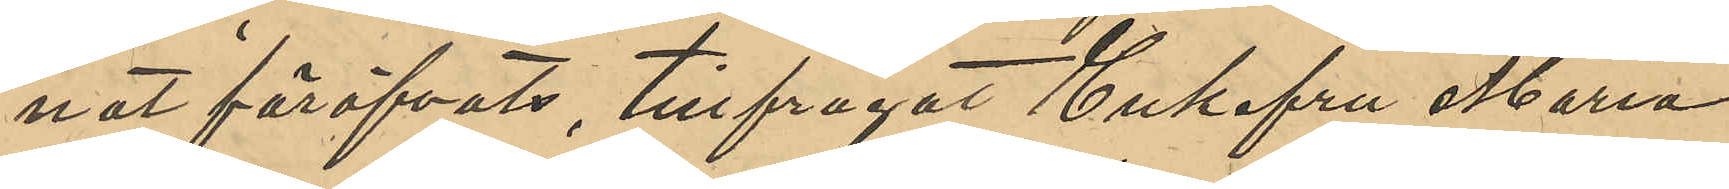nat föröfvats, tillfrågat Enkefru Maria
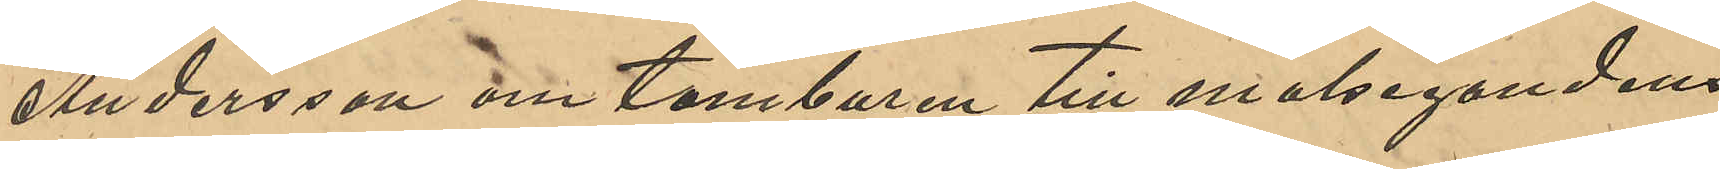Andersson om tamburen till målsegandens
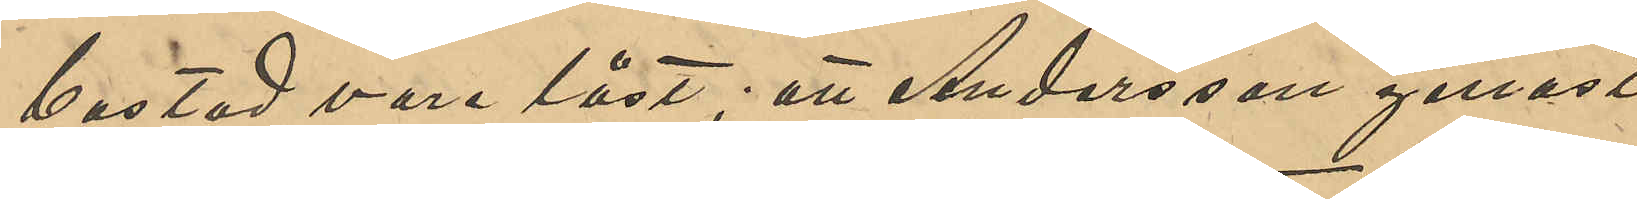bostad vore låst; att Andersson genast
